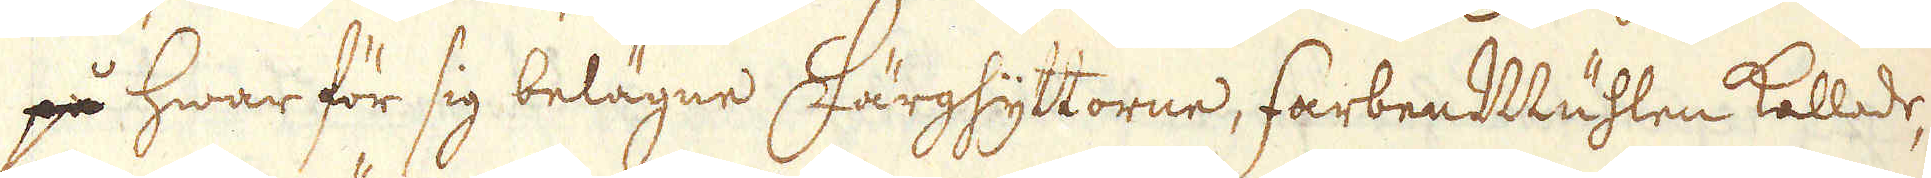på hwar för sig belägne Färghyttorne, FarbenMühlen kallade,
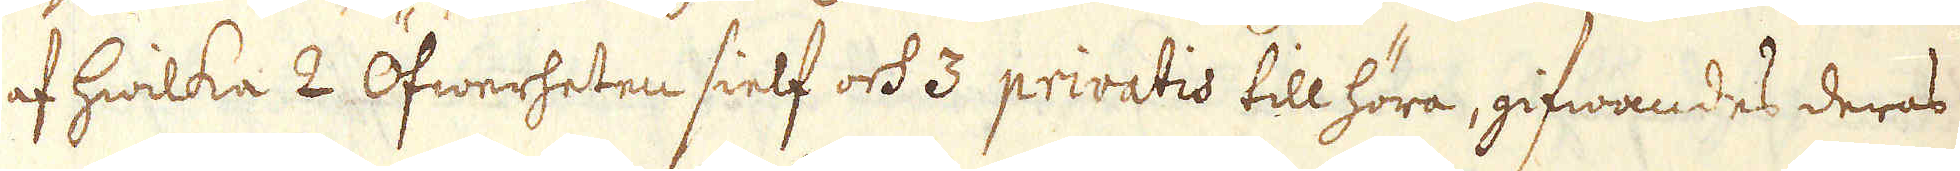af hwilka 2 Öfwerheten sielf och 3 privatis tillhöra, gifwandes deras
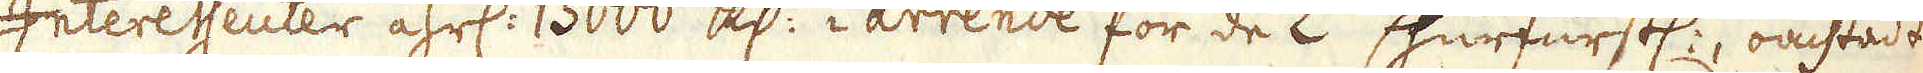Interessenter åhrl: 13000 R:dr i arrende för de 2:ne Churfurstl:a, oachtadt
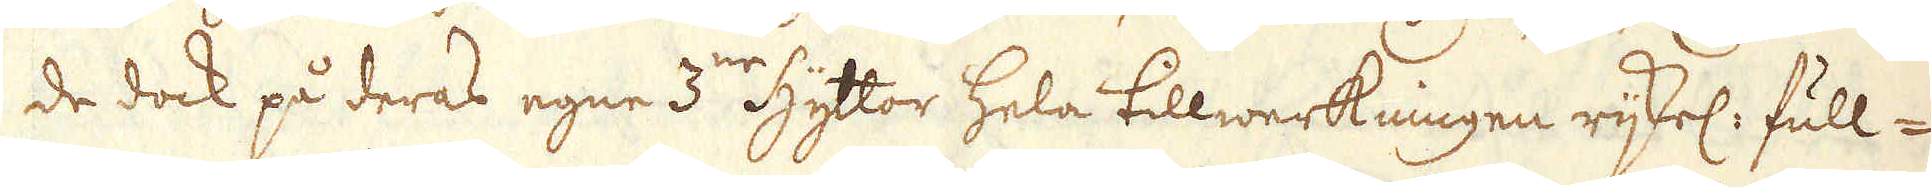de dock på deras egne 3:ne Hyttor hela tillwerkningen rijkel: full-
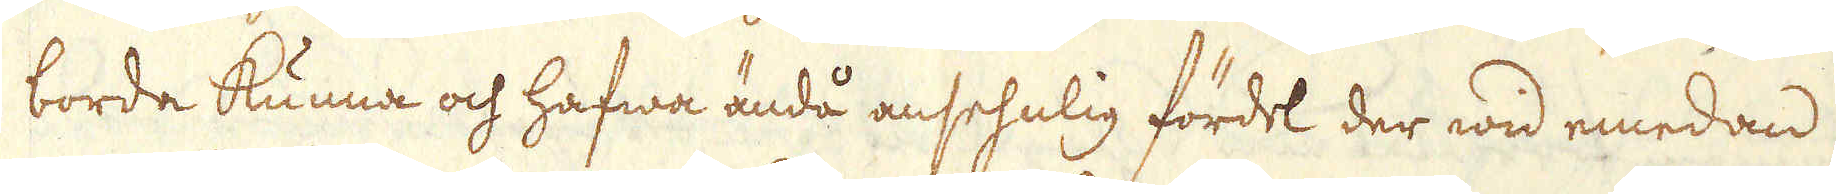borda kunna och hafwa ändå ansehnlig fördel der wid emedan
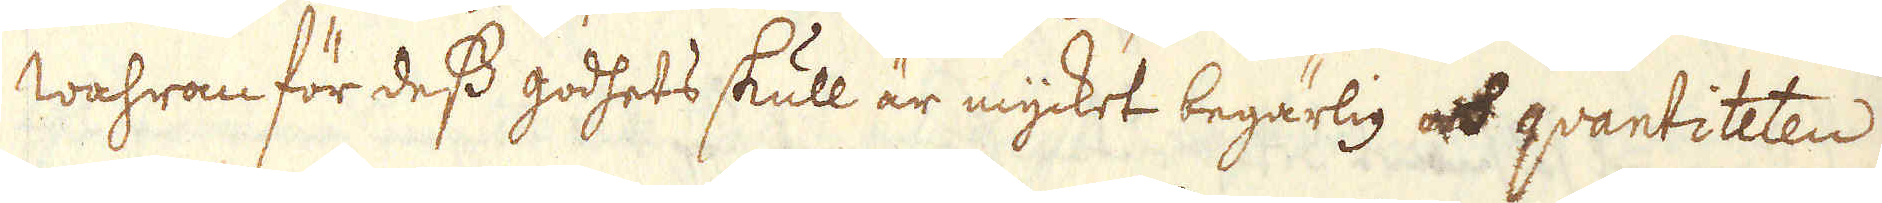wahran för dess godhets skull är mycket begärlig och qvantiteten
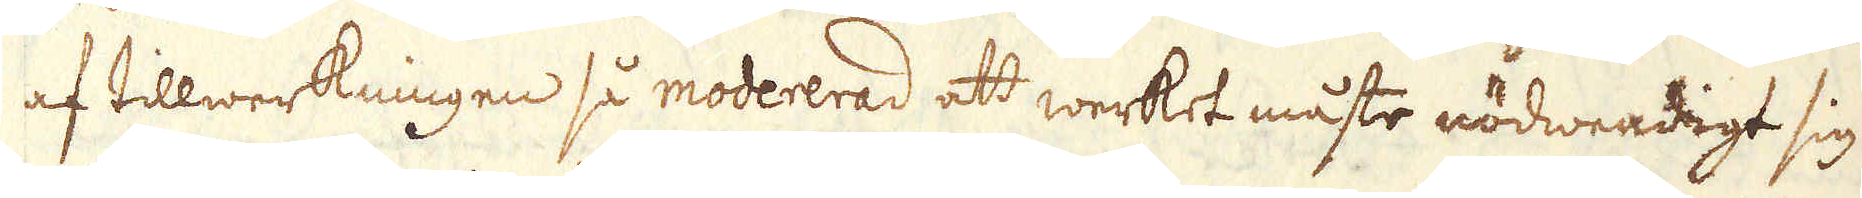af tillwerkningen så modererad att werket måste nödwendigt sig
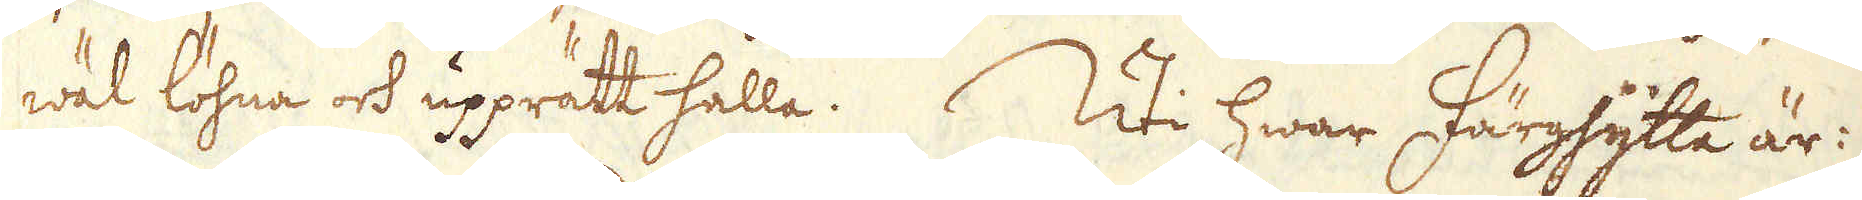wäl löhna och upprätt hålla. Uti hwar Färghytta är:
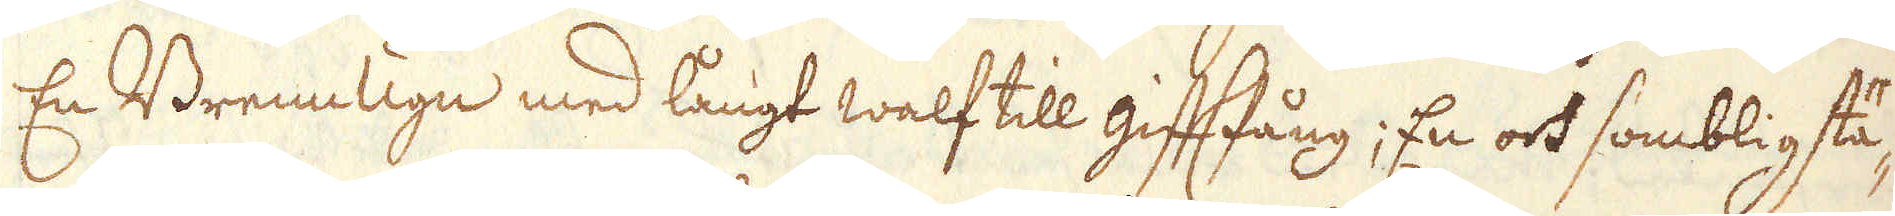En Brenn Ugn med långt walf till gifftfång; En och somblig stä-
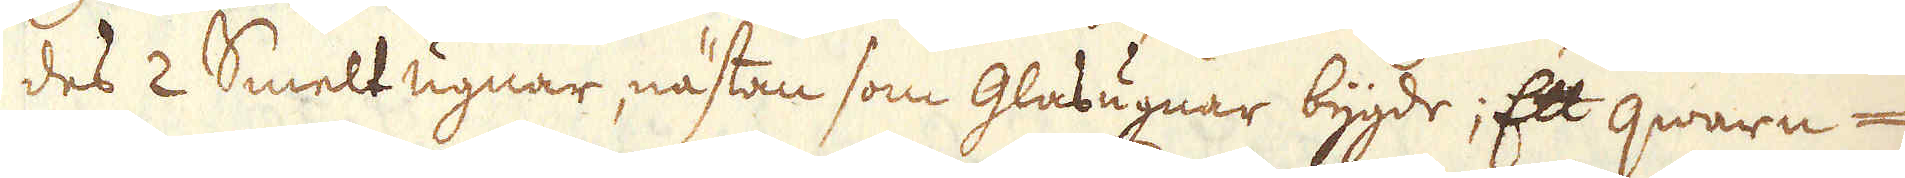des 2 Smelt ugnar, nästan som Glasugnar bygde; Ett qwarn-
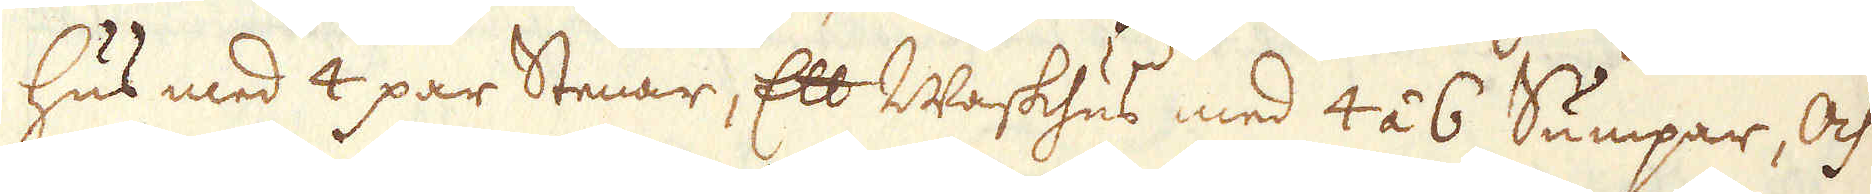hus med 4 par Stenar, Ett Waskhus med 4 á 6 Sumpar, Och
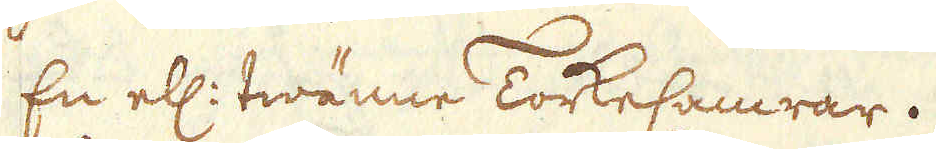En ell: twänne TorkeCamrar.
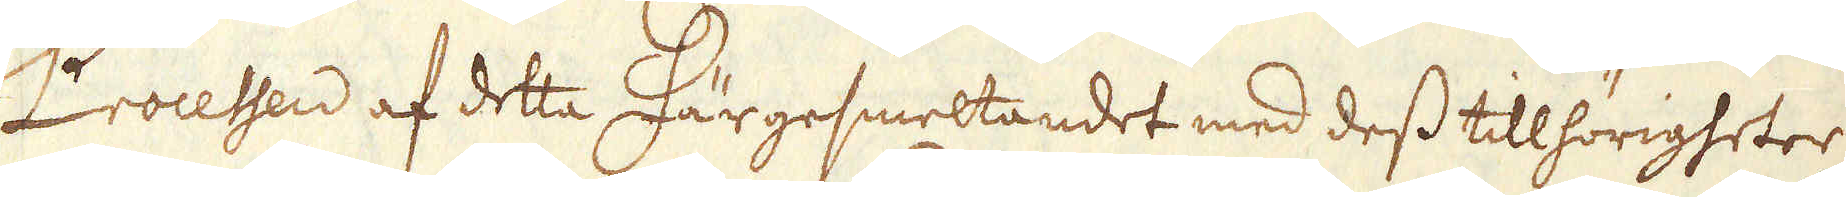Processen af detta Färgesmeltandet med dess tillhörigheter
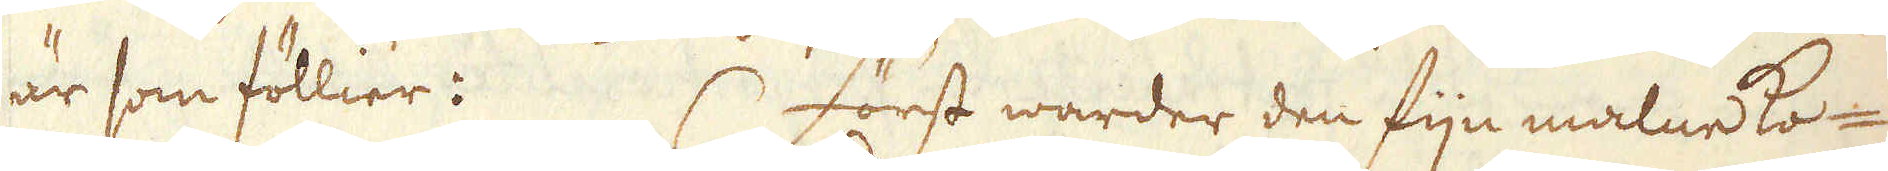är som föllier: Först warder den fijn malne Ko-
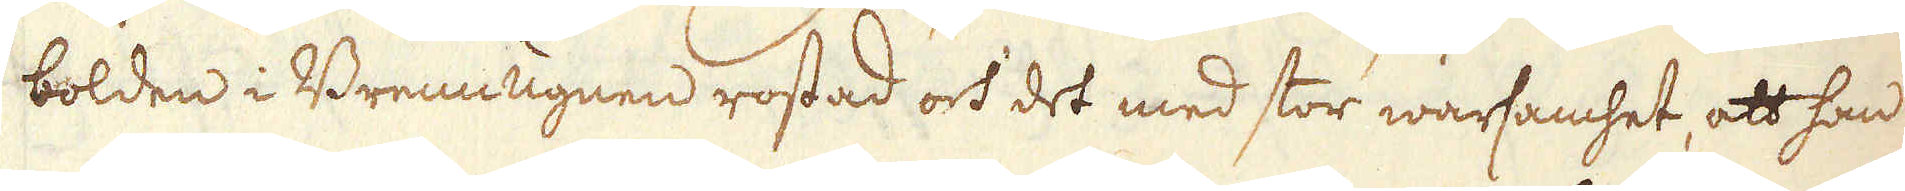bolden i Brenn Ugnen rostad och det med stor warsamhet, att han
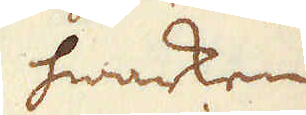hwarken
